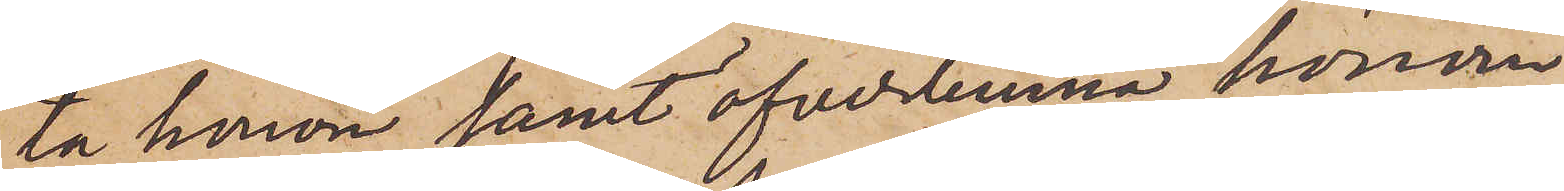ta honom samt öfverlemna honom
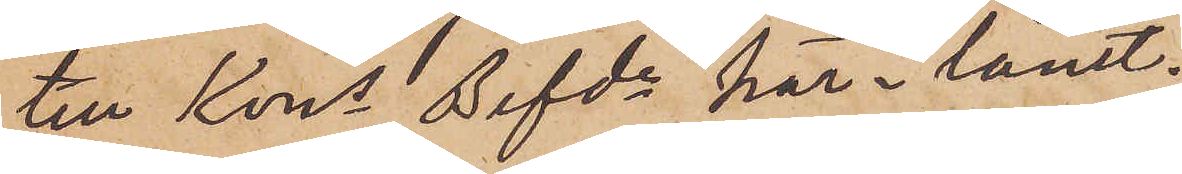till Kons Befde här länet.
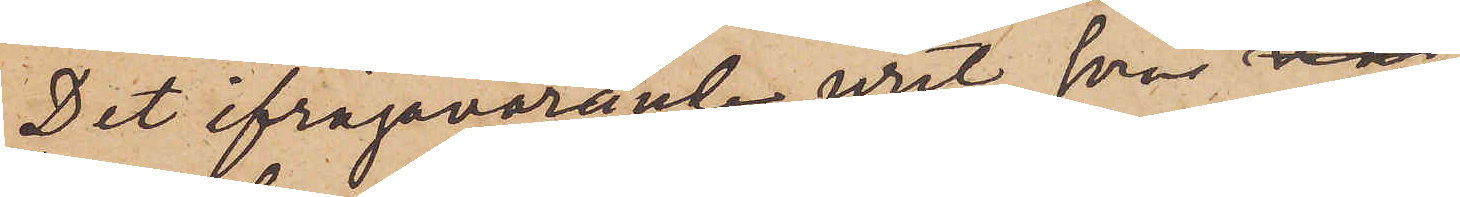Det ifrågavarande uret, som är
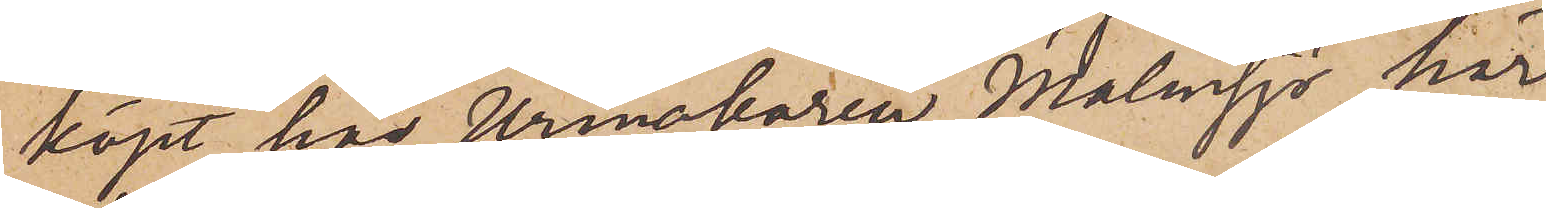köpt hos Urmakaren Malmsjö här
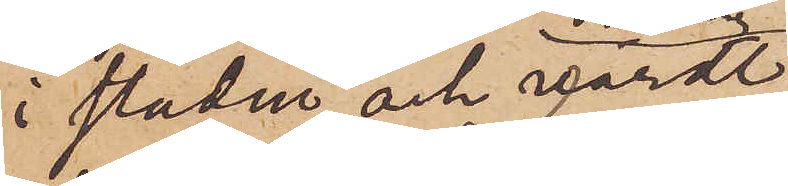i staden och värdt
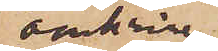omkring
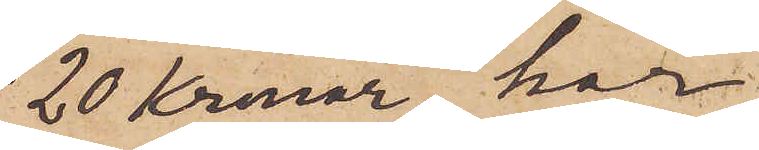20 Kronor, har
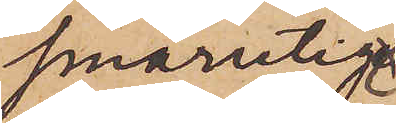smårutig
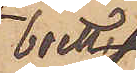boett
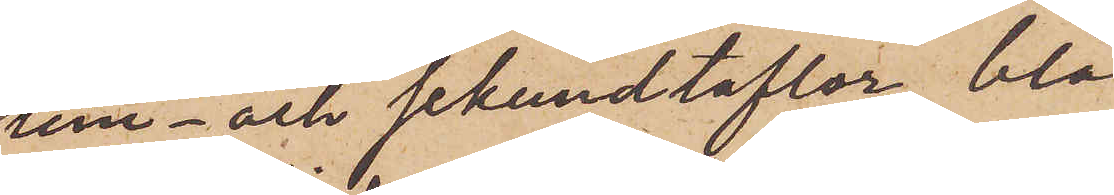tim- och sekundtaflor, blå
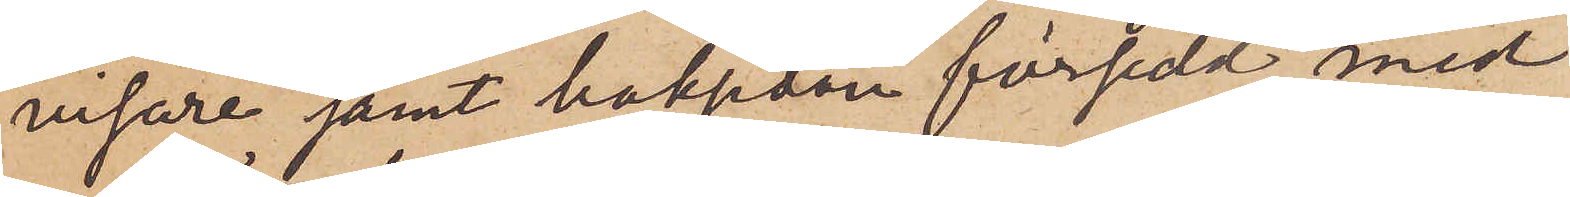visare samt baksidan försedd med
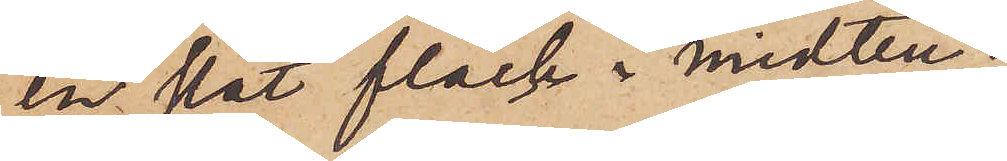en slät fläck i midten.
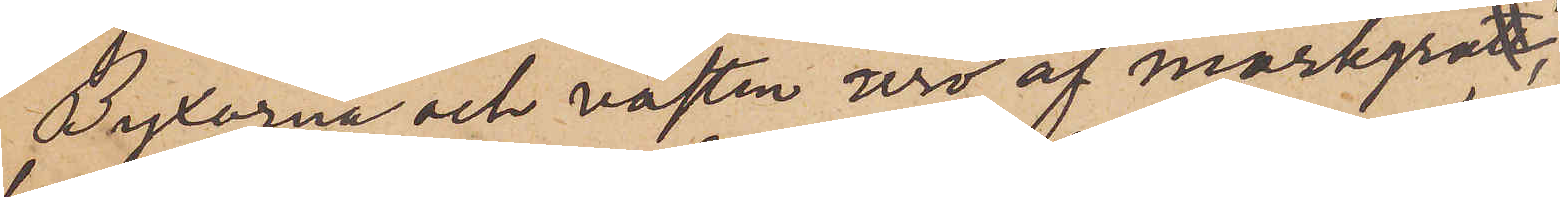Byxorna och västen äro af mörkgrå,
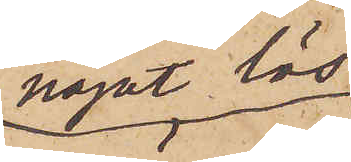något lös
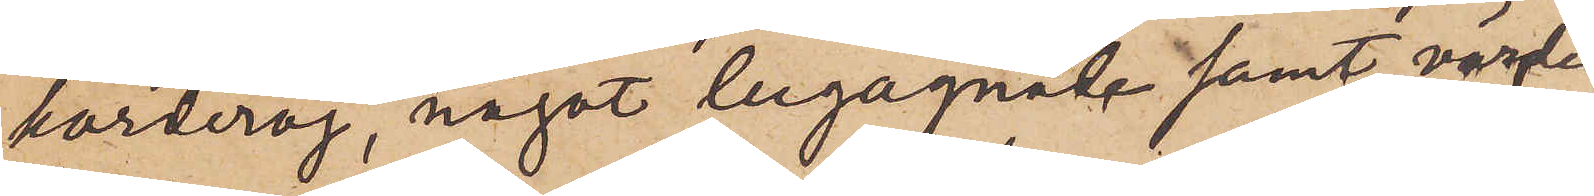korderoj, något begagnade, samt värde
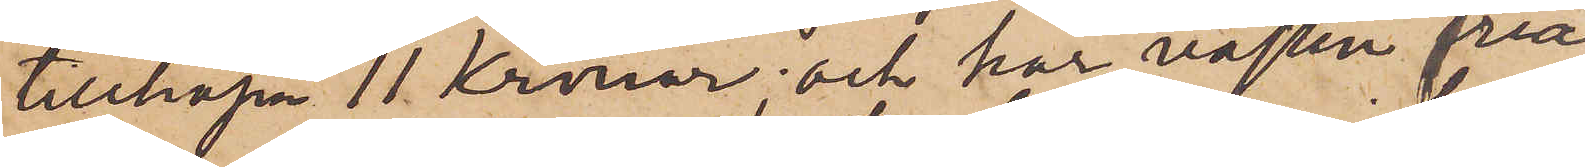tillhopa 11 Kronor; och har västen små
